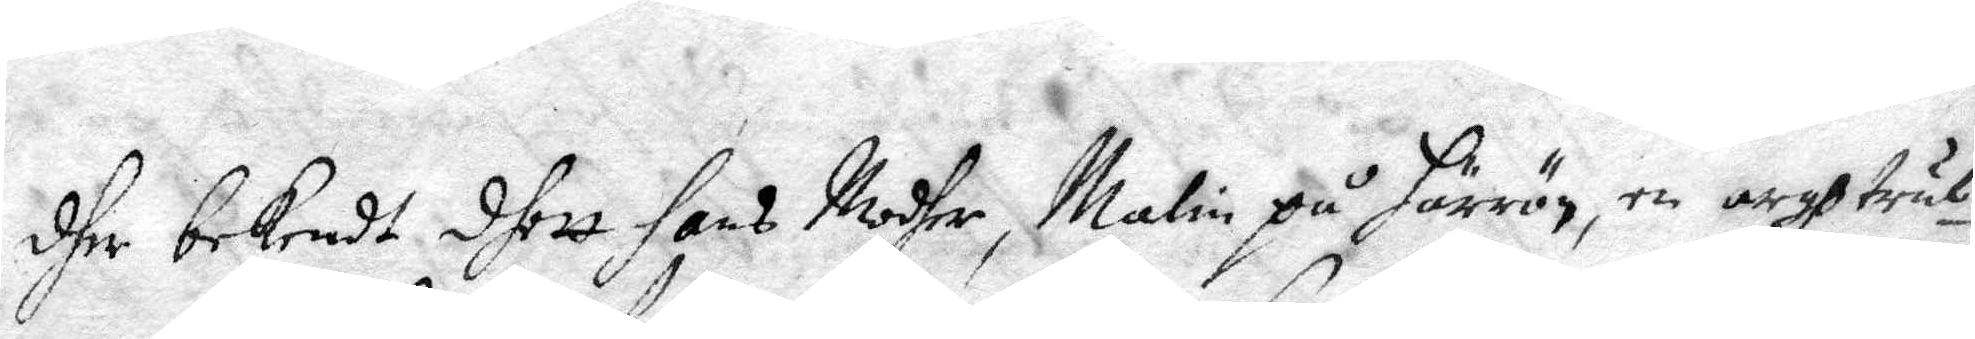dher bekendt dhett hans Modher Malin på Härrön, en argh trul¬
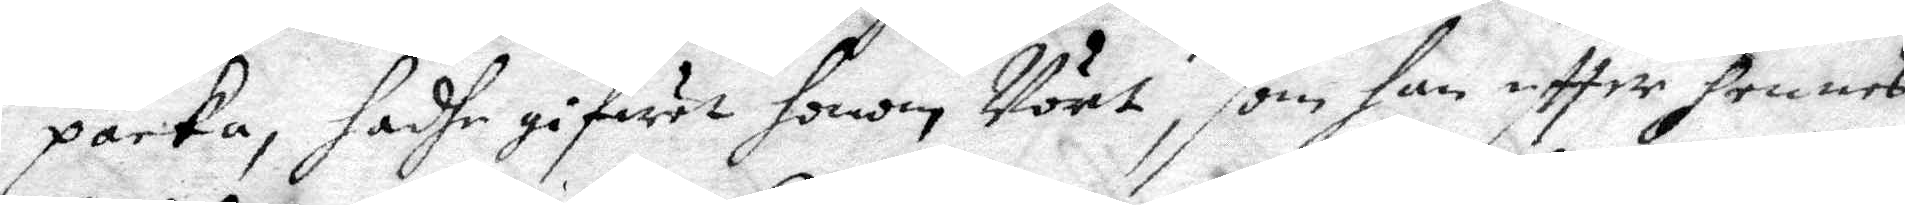packa, hadhe gifwet honom Vört, som han eftter hennes
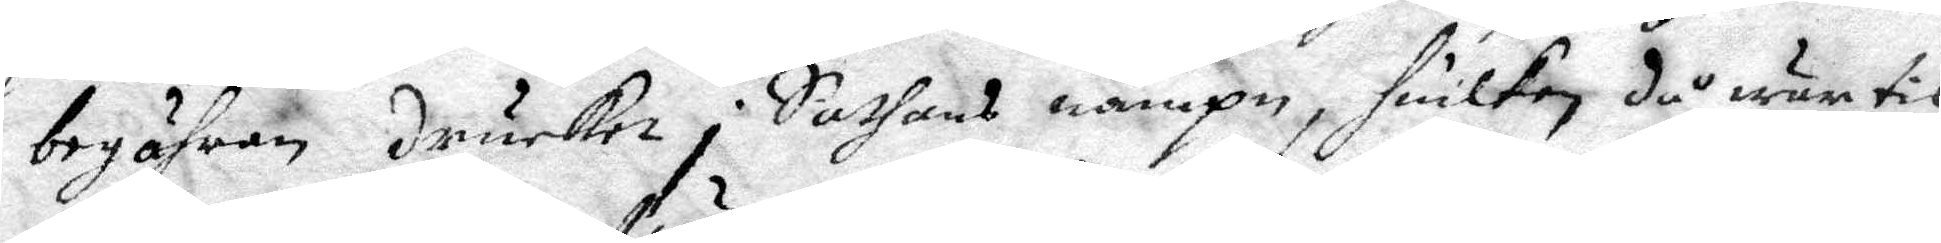begähran drucket i Sathans nampn, huilken då wur til
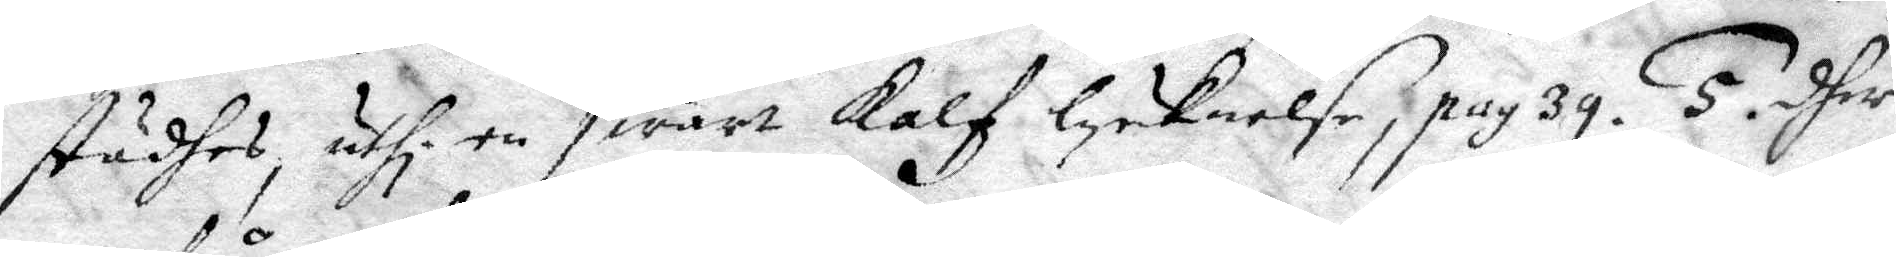städhes, uthi en swart Kalf lycknelse, pag 39. 5. dher
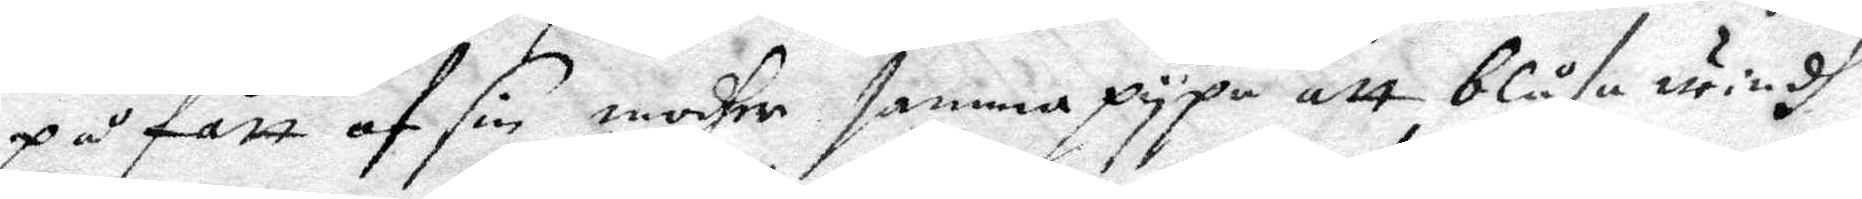på fått af sin modher samma pypa att blåsa windh
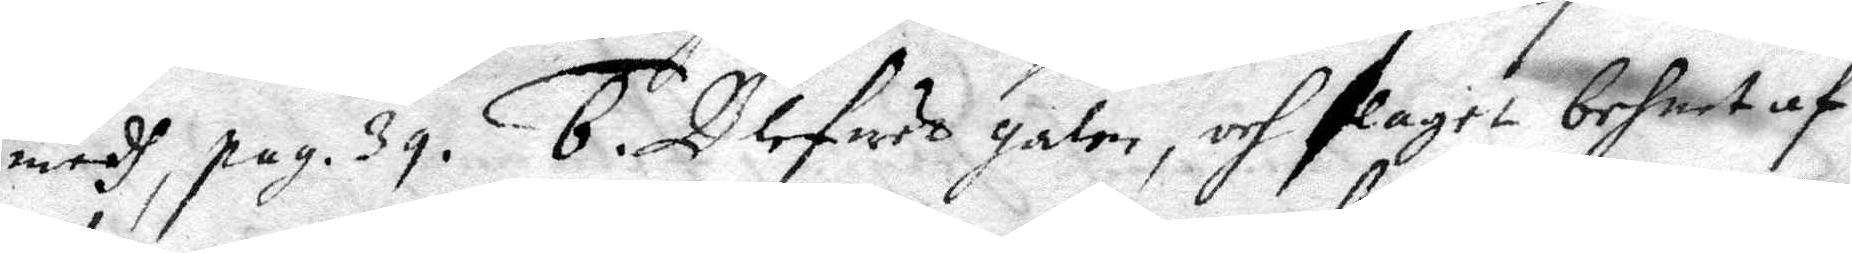medh, pag. 39. 6. Blefwett galen, och slagit behnet af
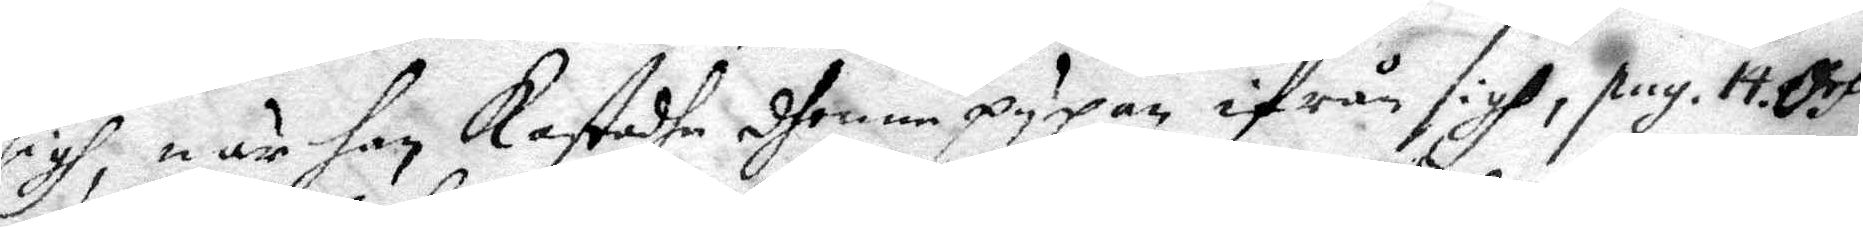sigh, när han Kastadhe dhenne pypan ifrån sigh, pag. 14. och 
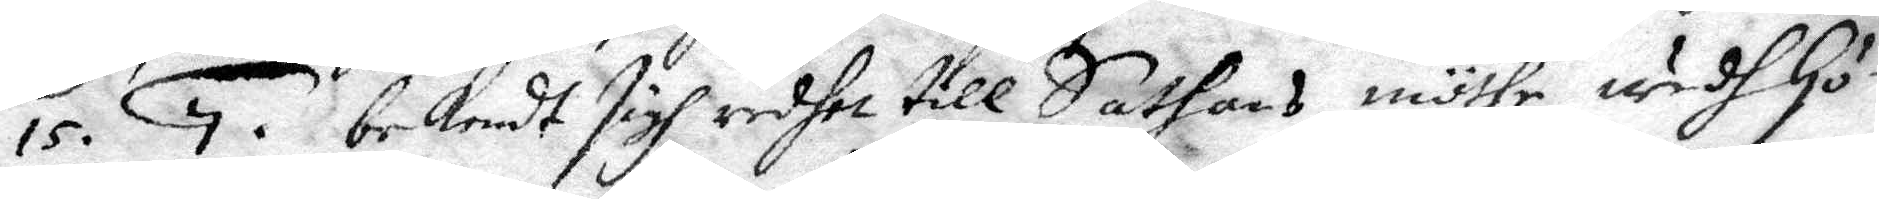15. 7. bekendt sigh redhet till Sathans möthe wedh Gö¬
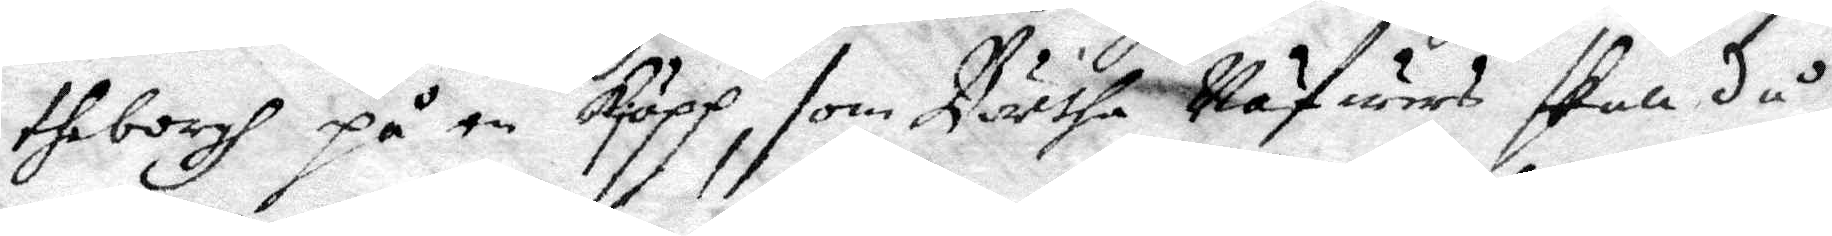theborgh på en kjäpp, som Börtha Näfuars skall då
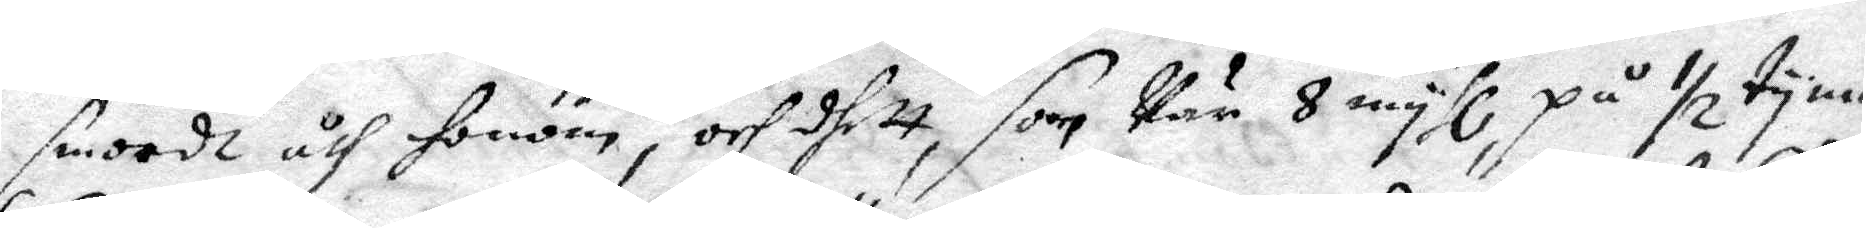smorde åth honom, och dhett som var 8 myhl, på ½ tyma.
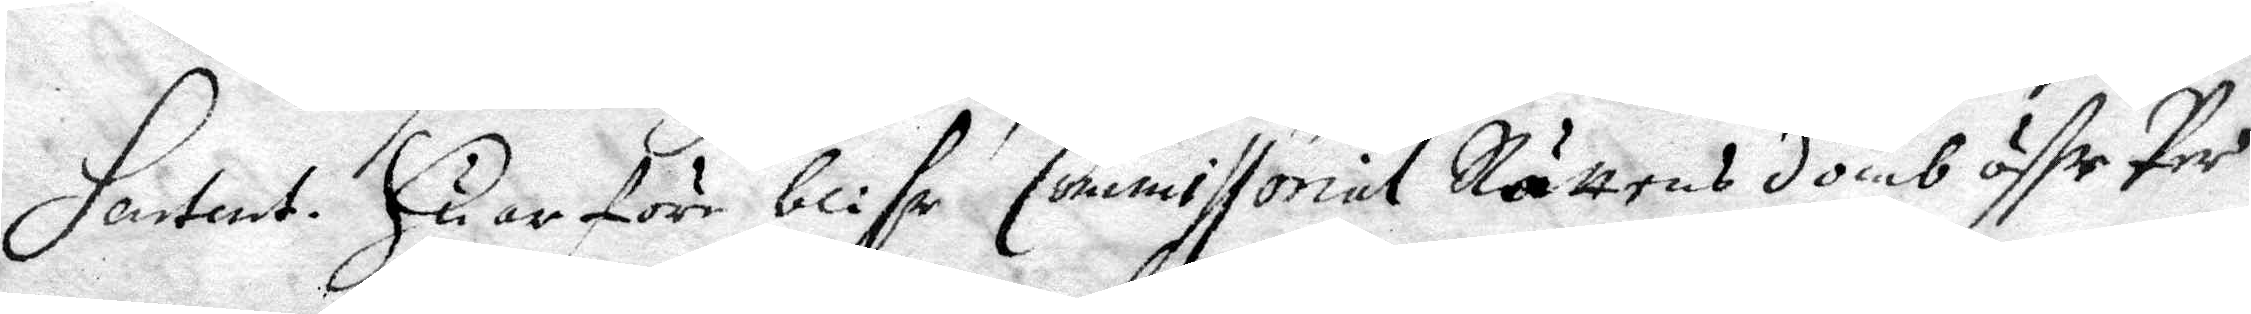Sartent. Huarföre blifr Commissorial Rättens domb öffr Per
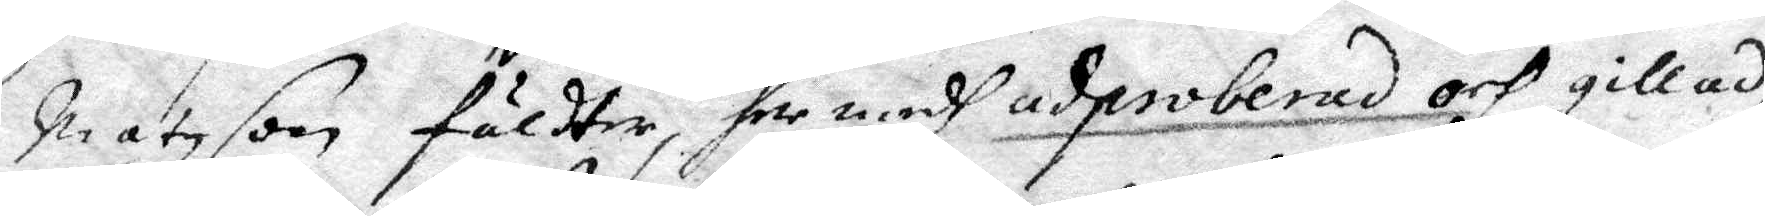Matzson fäldter, her medh adproberad och gillad,
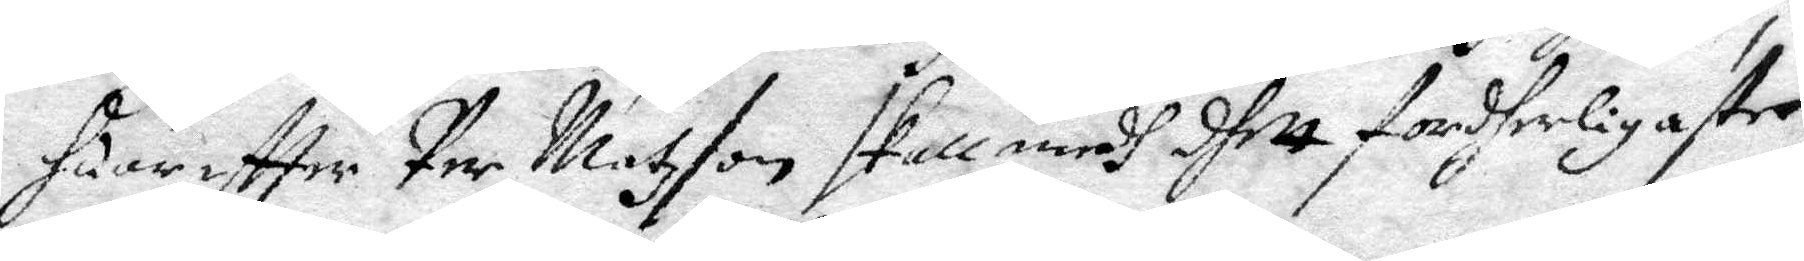huar eftter Per Matzson skall medh dhett fordherligaste
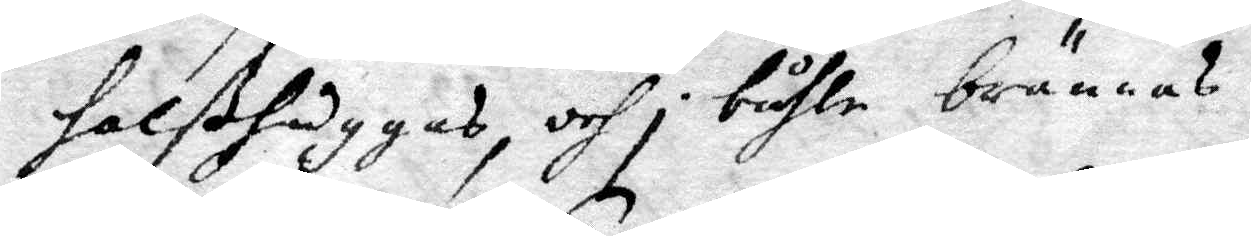halßhuggas, och i båhle brännas.
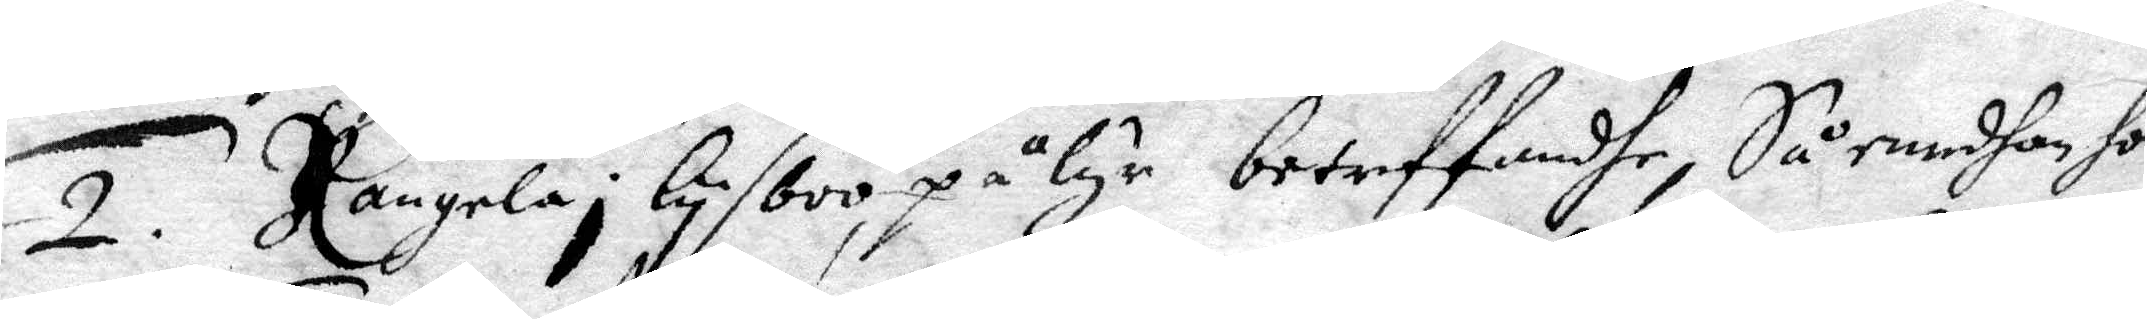2. Rangela i Lysboo, på lyr betreffandhe, Så emedhan hon
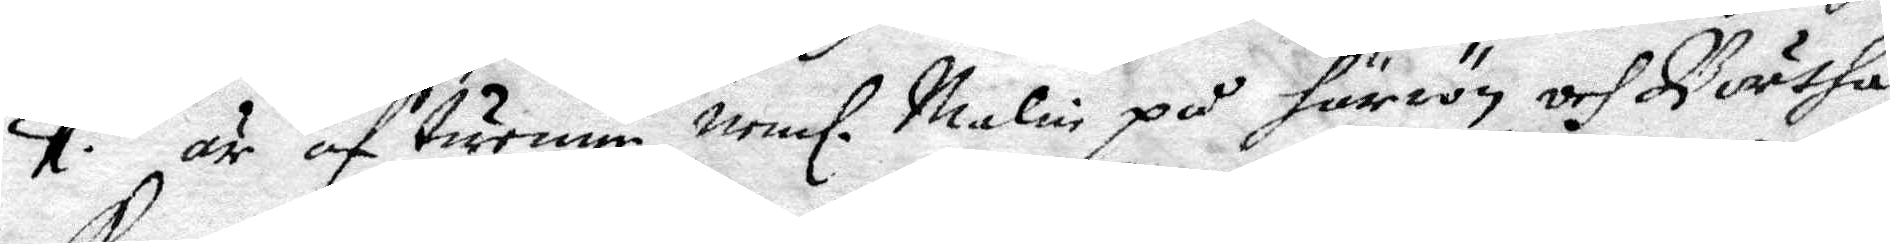1. är af tvenne, neml. Malin på Härron och Börtha
